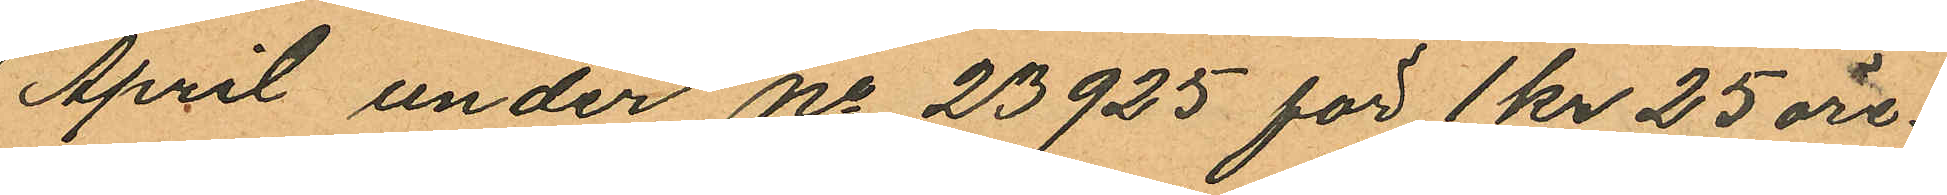April under No 23925 för 1 kr 25 öre.
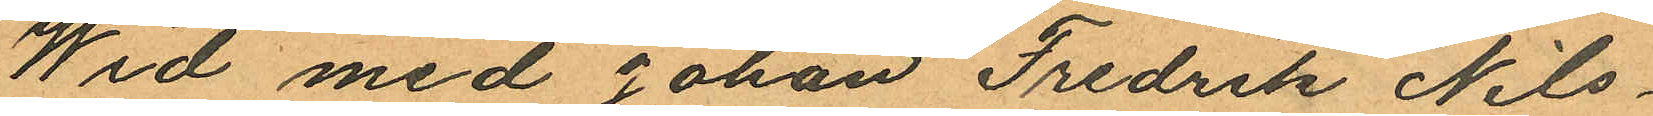Wid med Johan Fredrik Nils¬
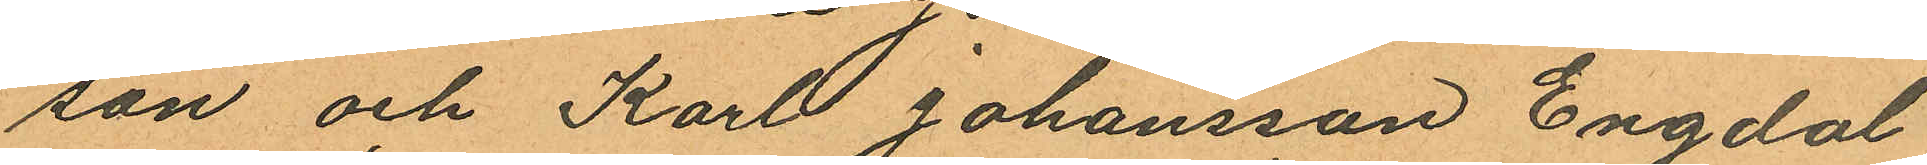son och Karl Johansson Engdal
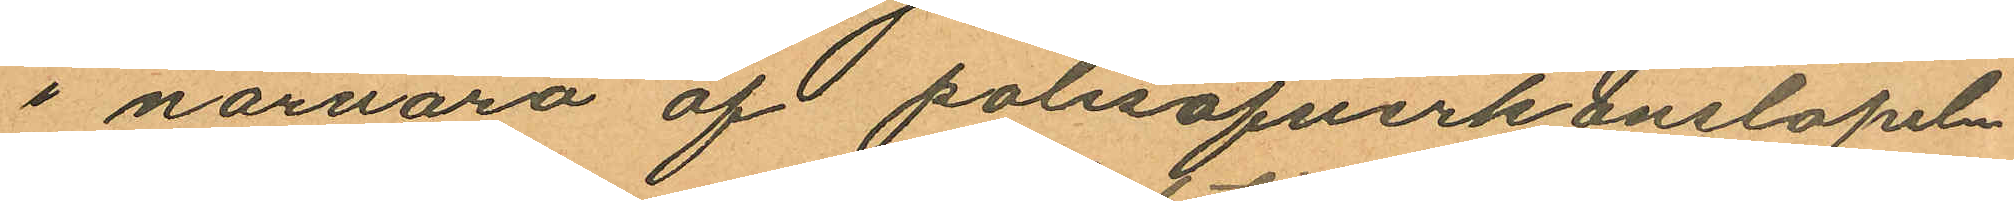i närvaro af polisöfverkonstapeln
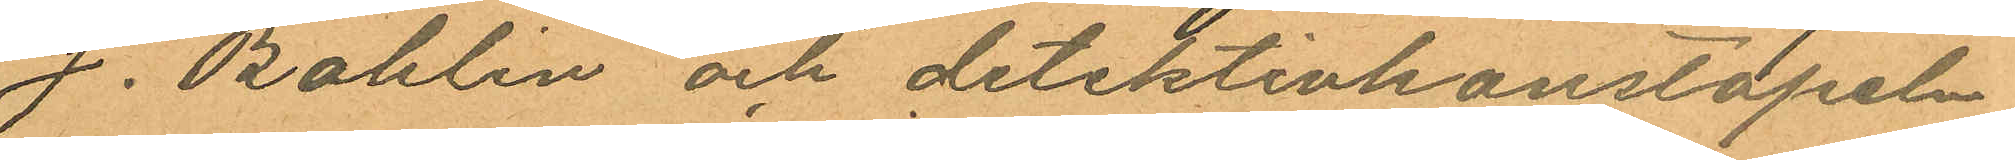J. Bohlin och detektivkonstapeln
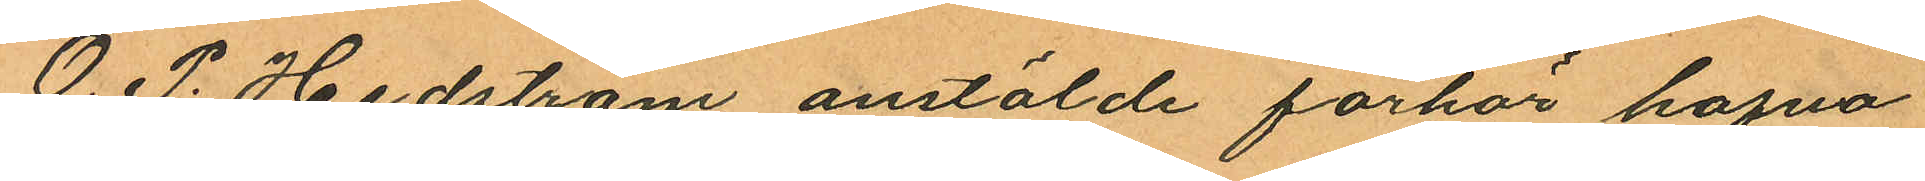O. P. Hedström anstälde förhör hafva
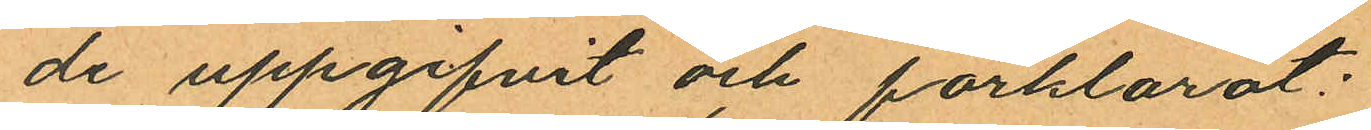de uppgifvit och förklarat:
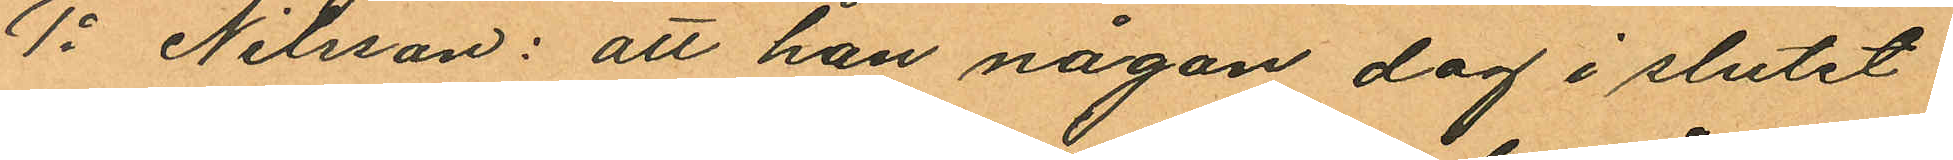1o Nilsson: att han någon dag i slutet
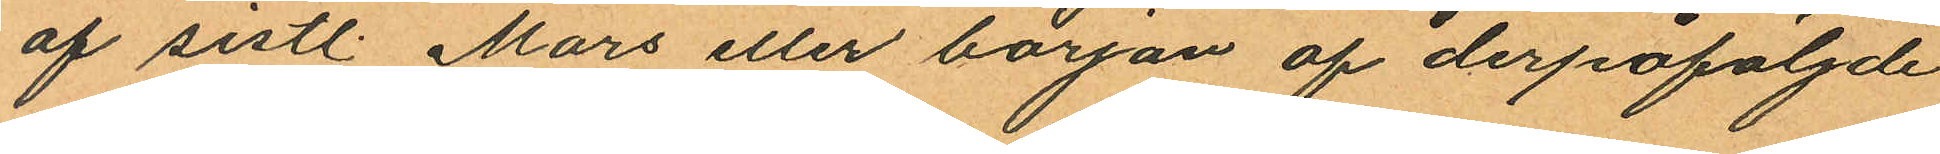af sistl. Mars eller början af derpåföljde
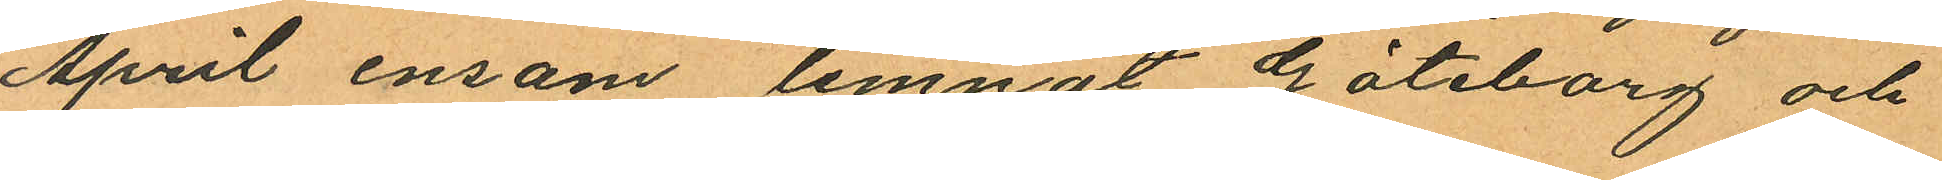April ensam lemnat Göteborg och
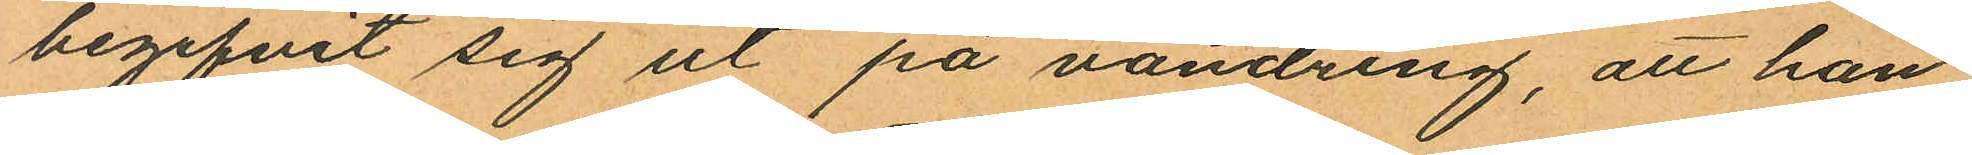begifvit sig ut på vandring, att han
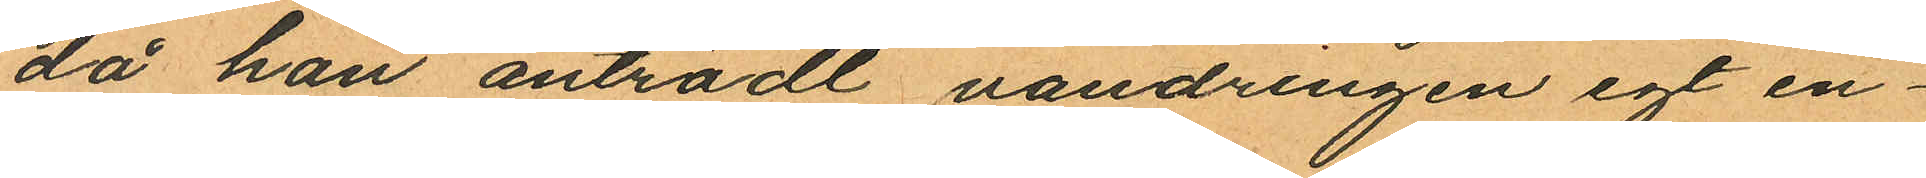då han anträdt vandringen egt en¬
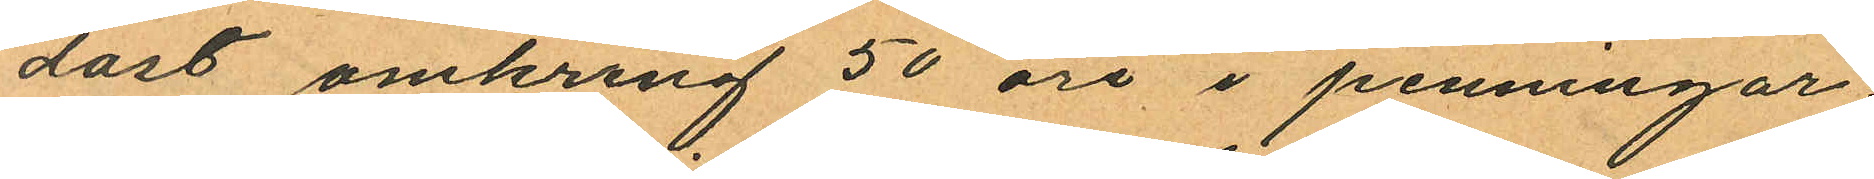dåst omkring 50 öre i penningar
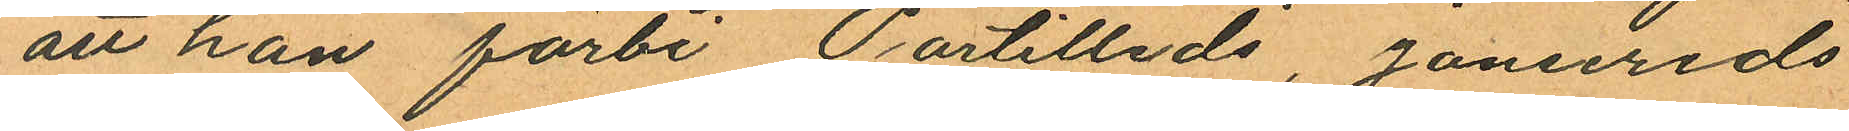att han förbi Partilleds, Jonsereds
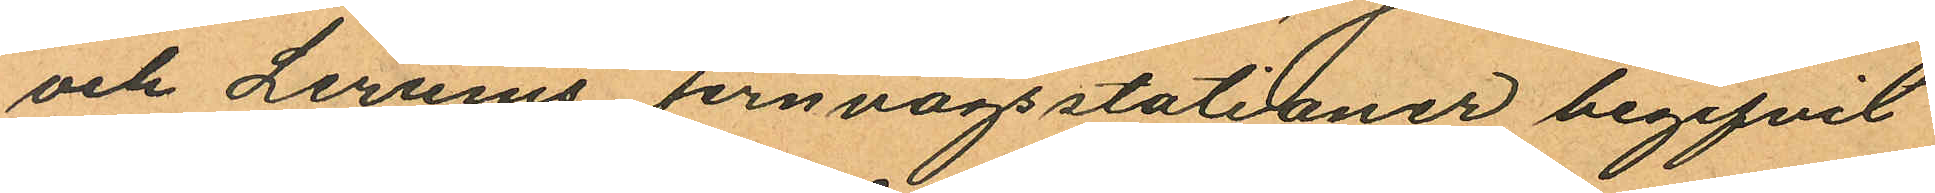och Lerums jernvägsstationer begifvit
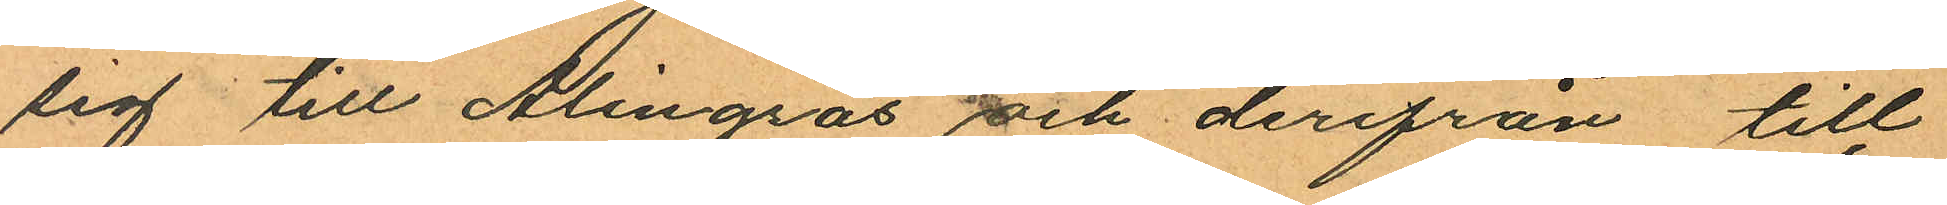sig till Alingsås och derifrån till
